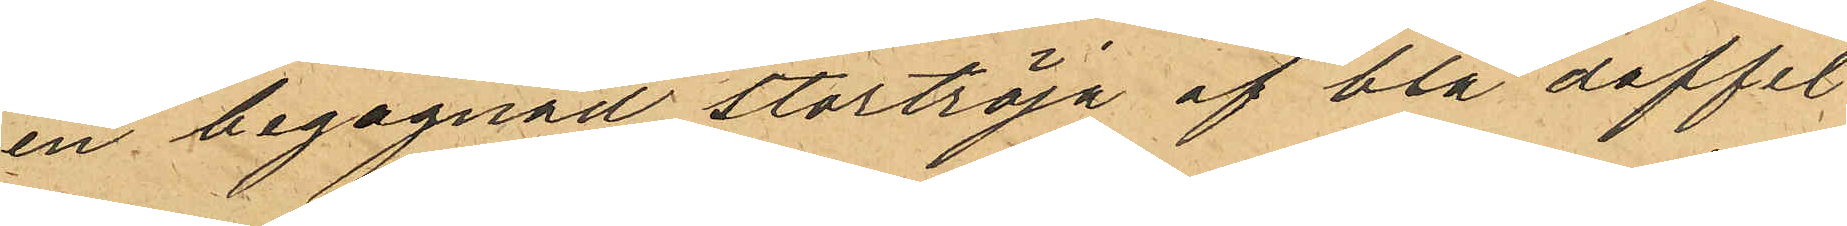en begagnad stortröja af blå doffel¬
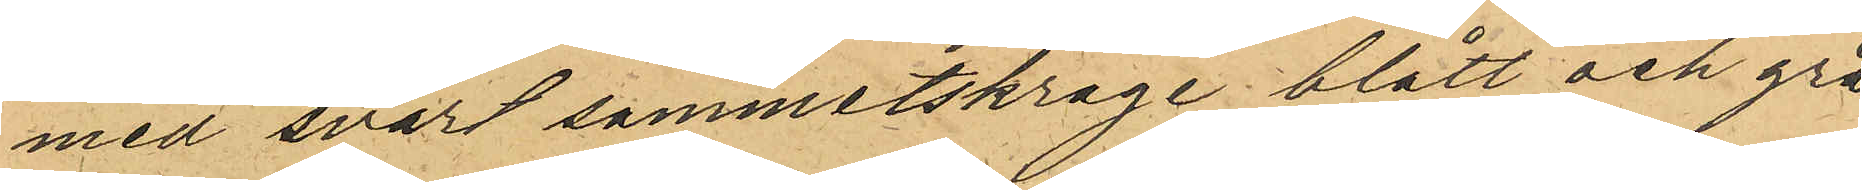med svart sammetskrage blått och grå¬
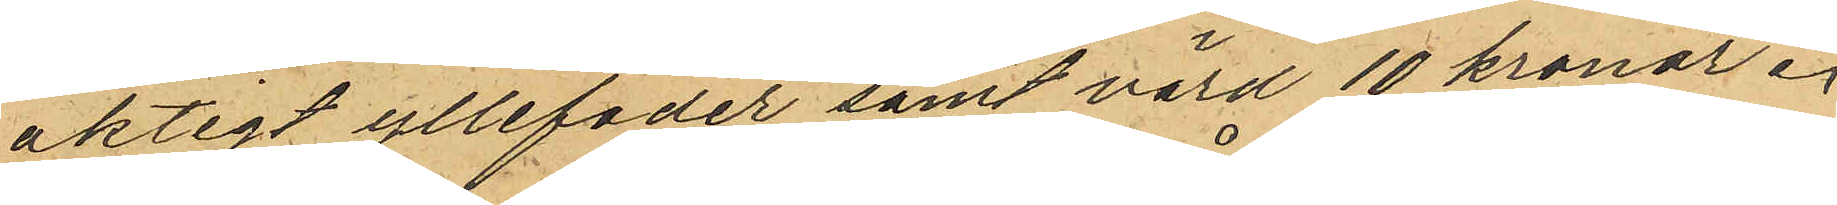aktigt yllefoder samt värd 10 kronor.
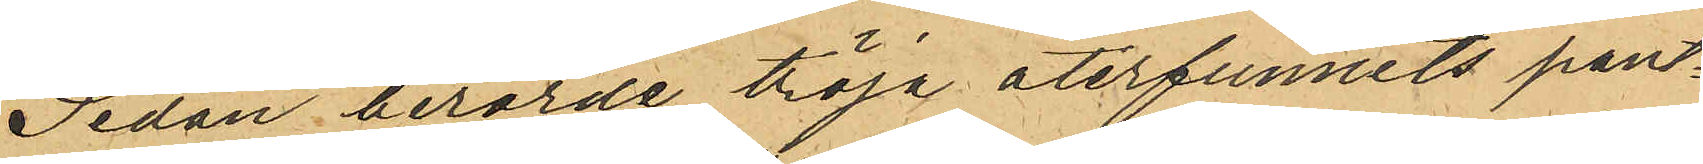Sedan berörde tröja återfunnits pant¬
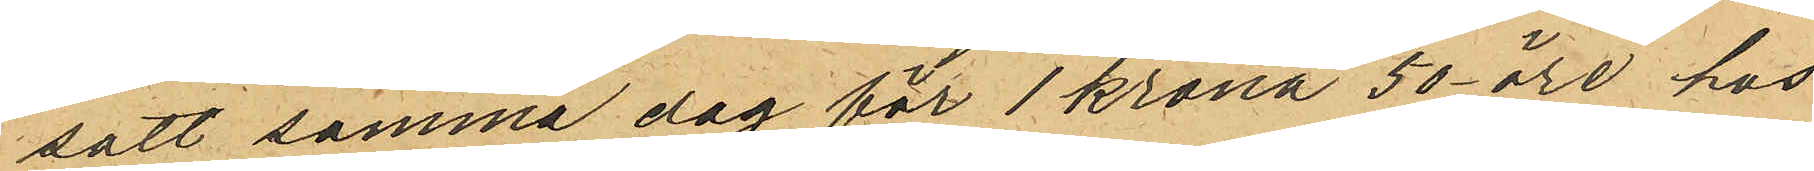satt samma dag för 1 krona 50 öre hos
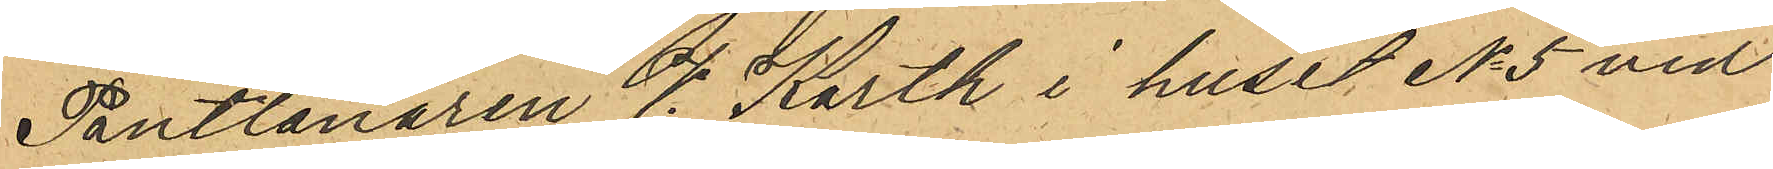Pantlånaren V. Karth i huset No 5 vid
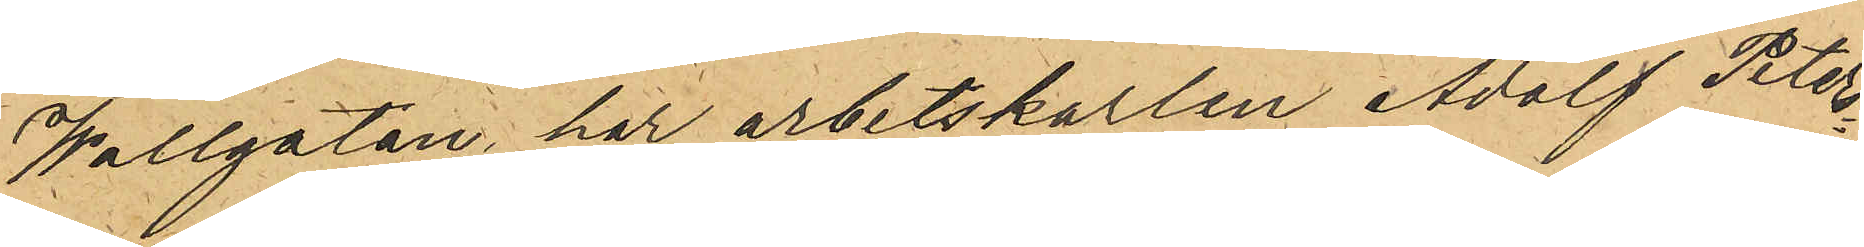Wallgatan, har arbetskarlen Adolf Peters¬
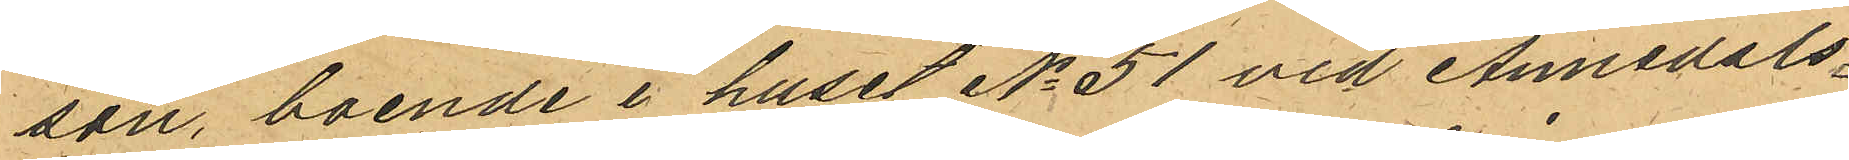son, boende i huset No 51 vid Annedals¬
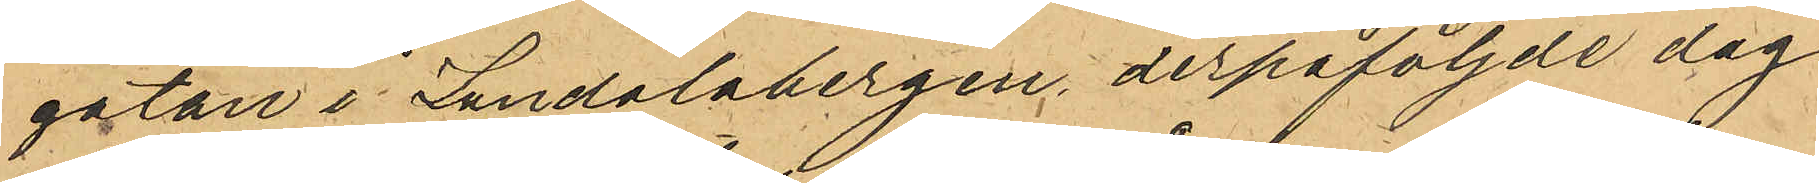gatan i Landalabergen, derpåföljde dag
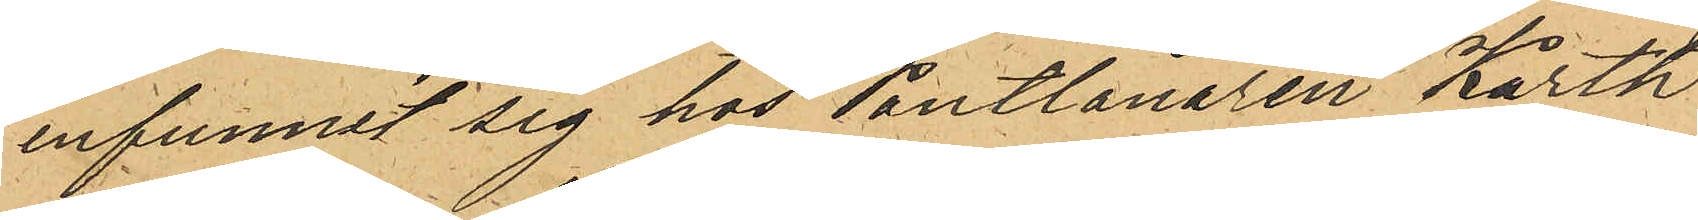infunnit sig hos Pantlånaren Karth
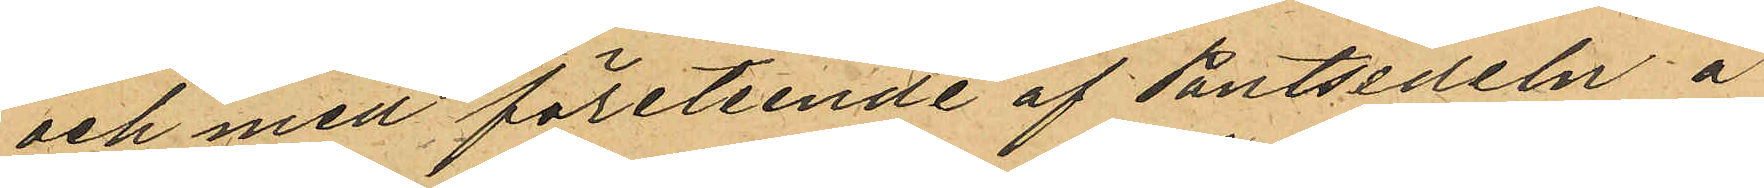och med företeende af Pantsedeln å
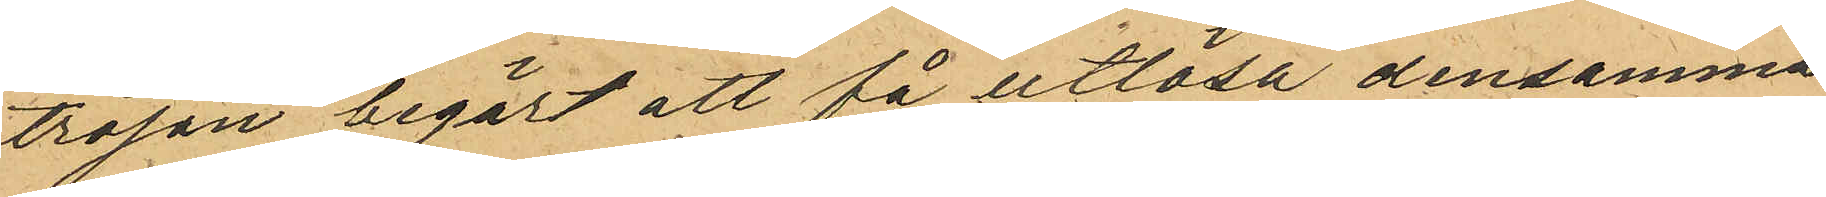tröjan begärt att få utlösa densamma
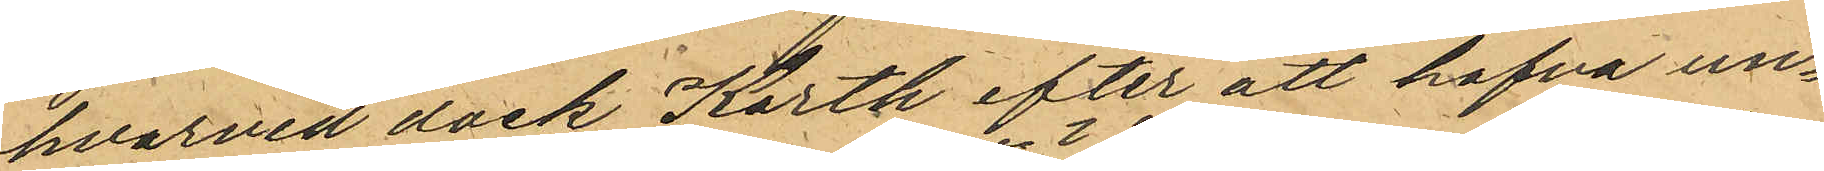hvarvid dock Karth efter att hafva un¬
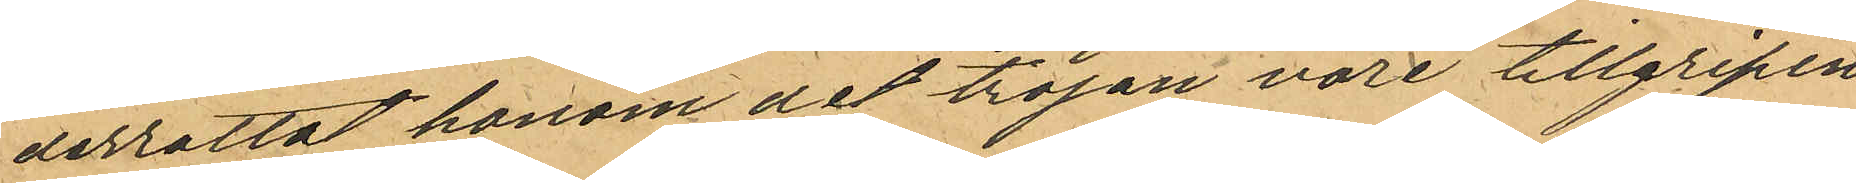derrättat honom det tröjan vore tillgripen
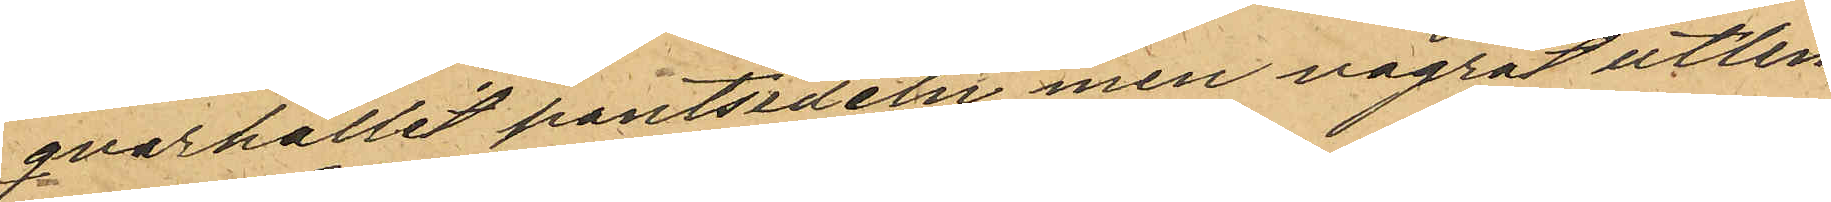qvarhållit pantsedeln men vägrat utlem¬
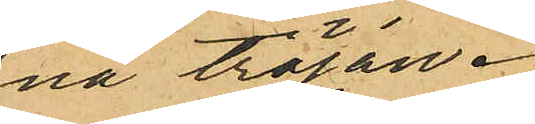na tröjan.
